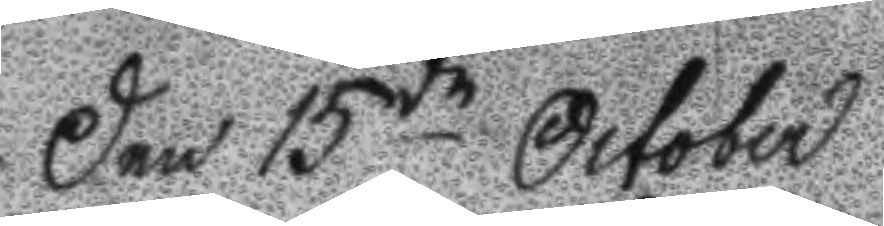den 15de October
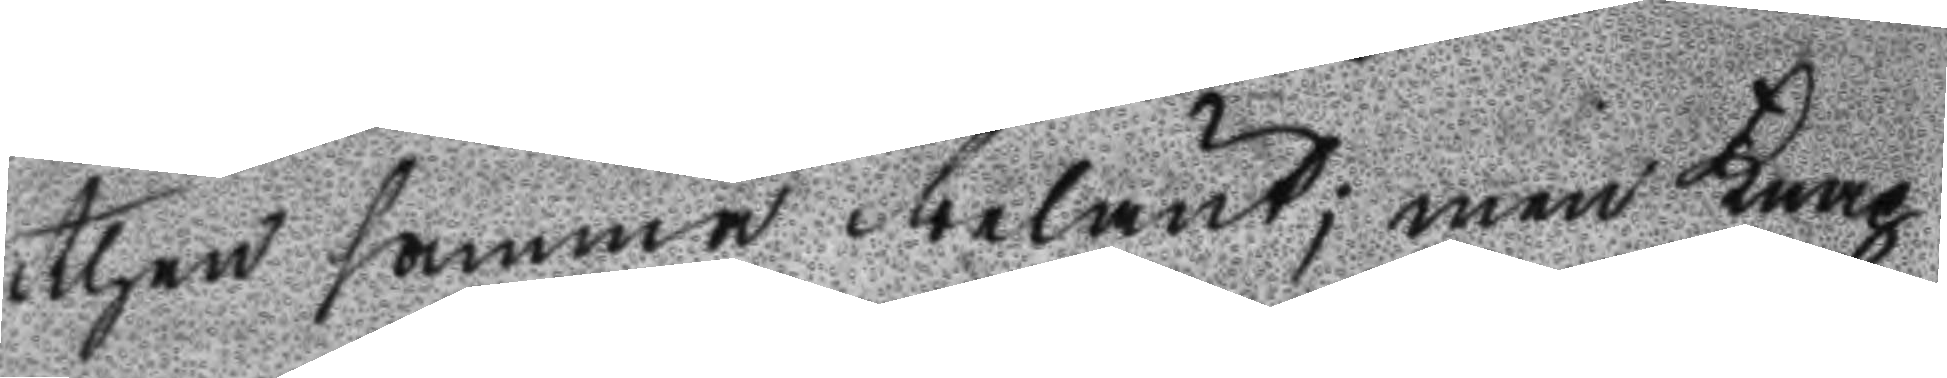then samma belånt; men Knap
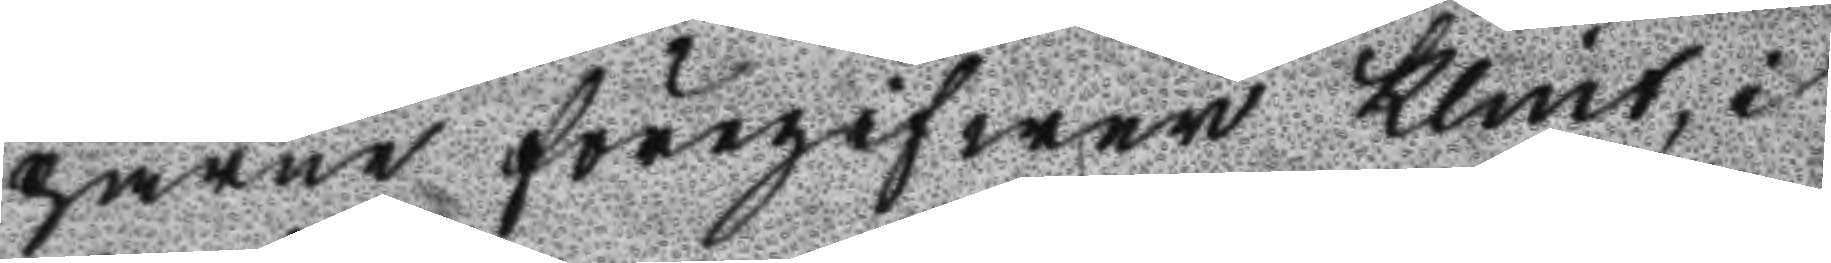parne föregifwer Klint, i
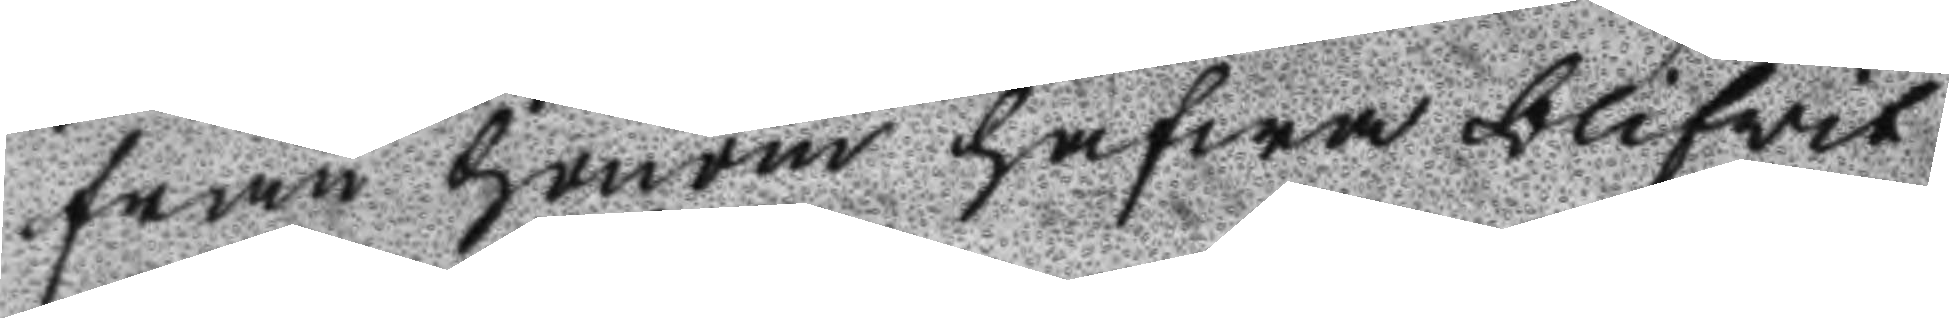från honom hafwa blifwit
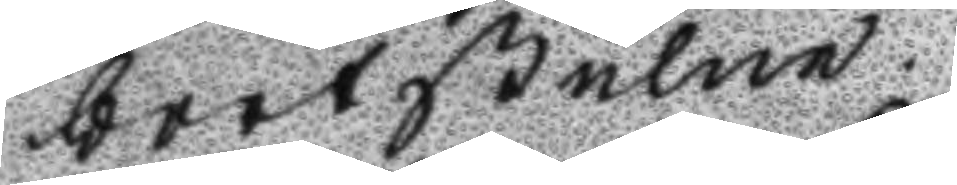bortstulne.
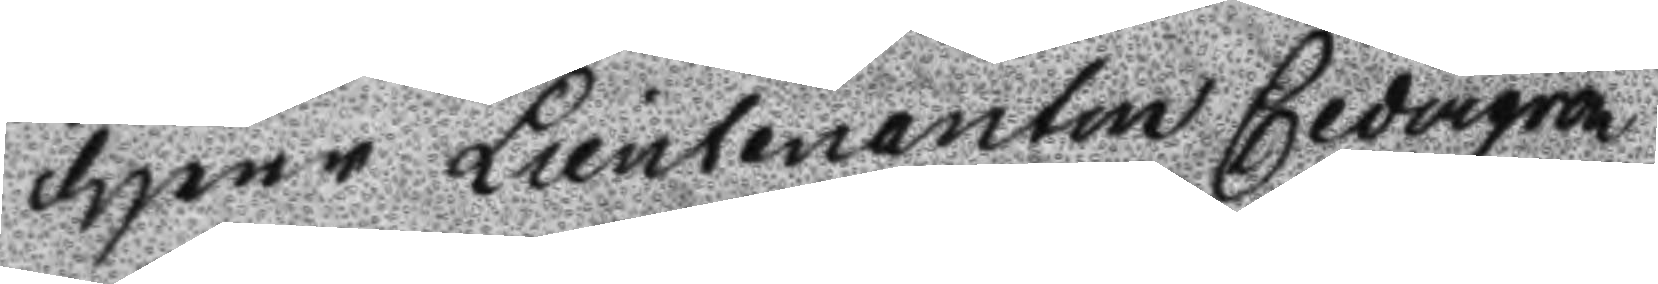Herr Lieutenanten Cedergren
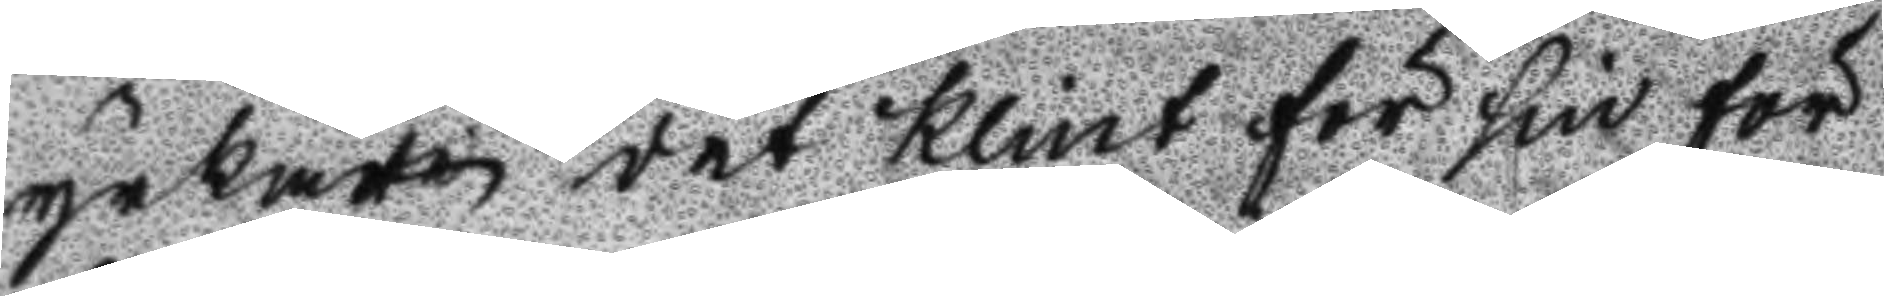yrkade det Klint för sin för
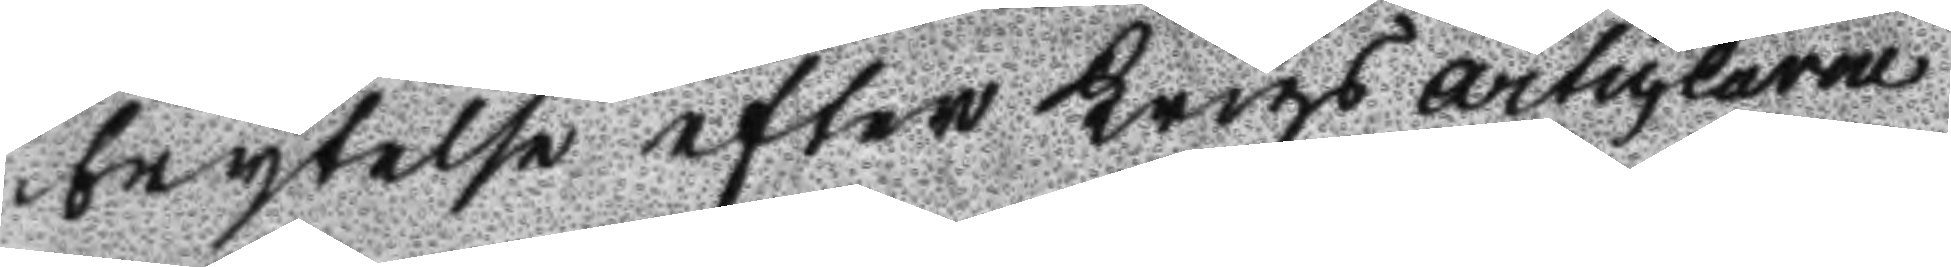brytelse efter Krigs articlarne
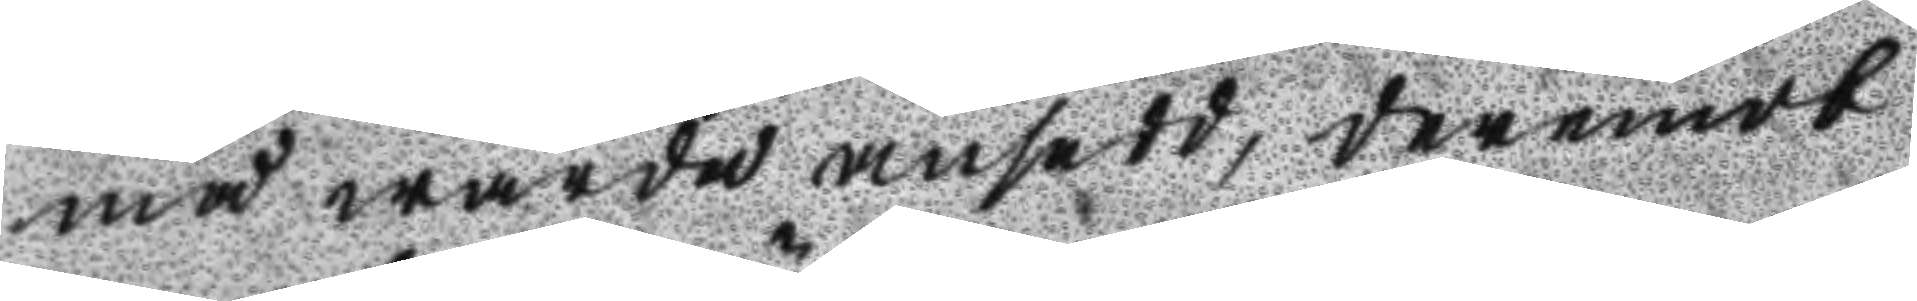må warda ansedd, deremot
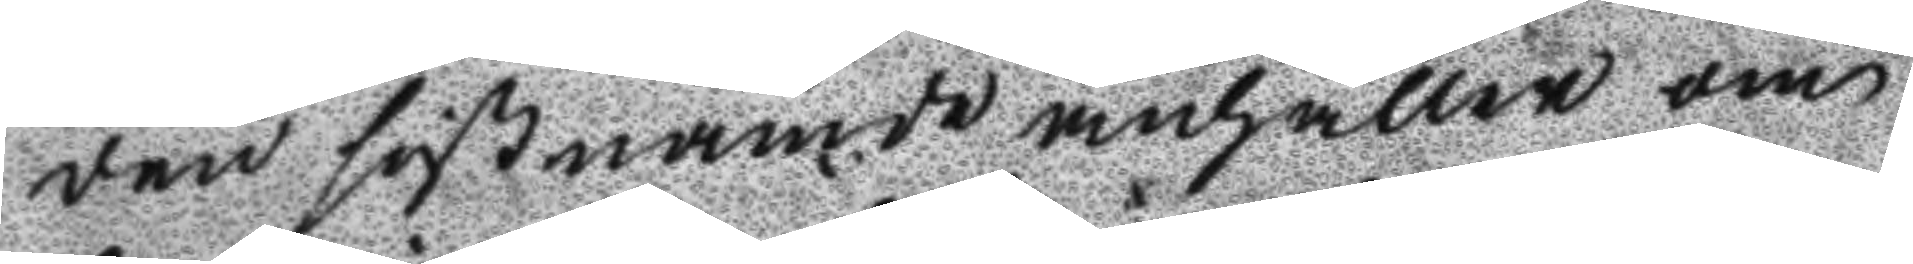den sistnämde anhåller om
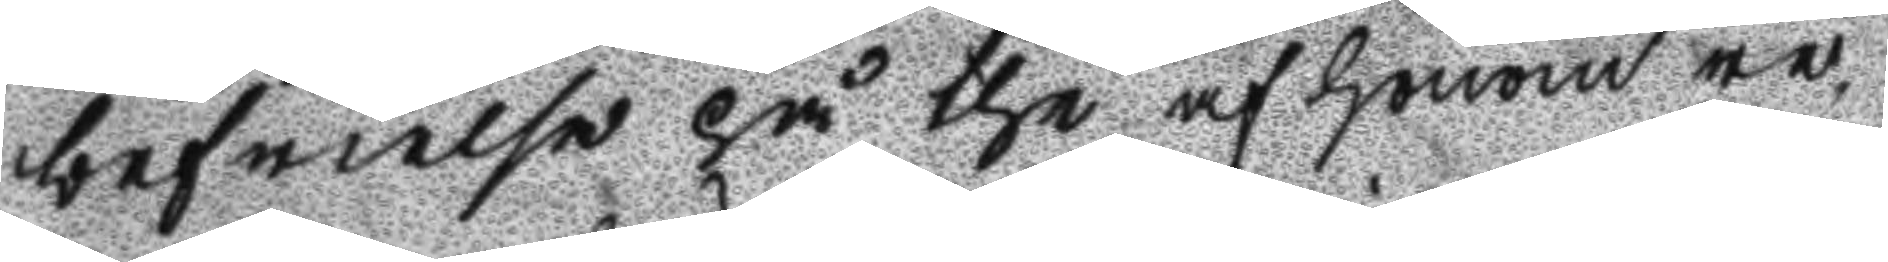befrielse på the af honom re¬
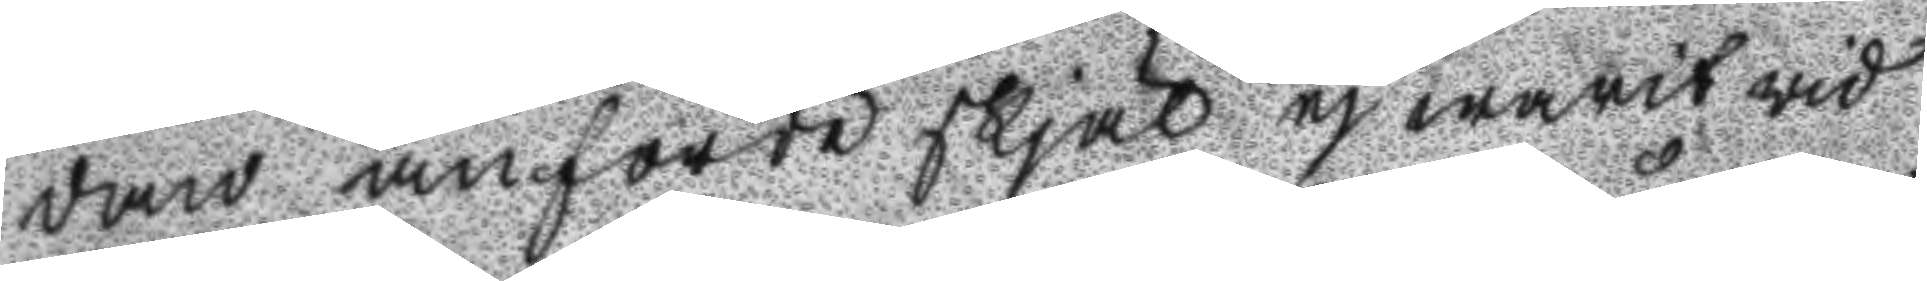dan anförde skjäl ej warit wid
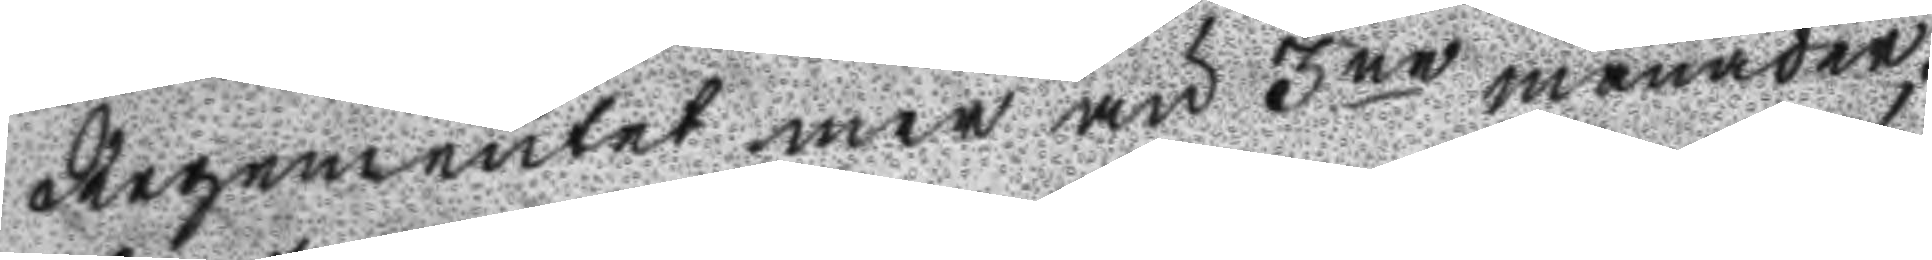Regementet mer än 3ne månader,
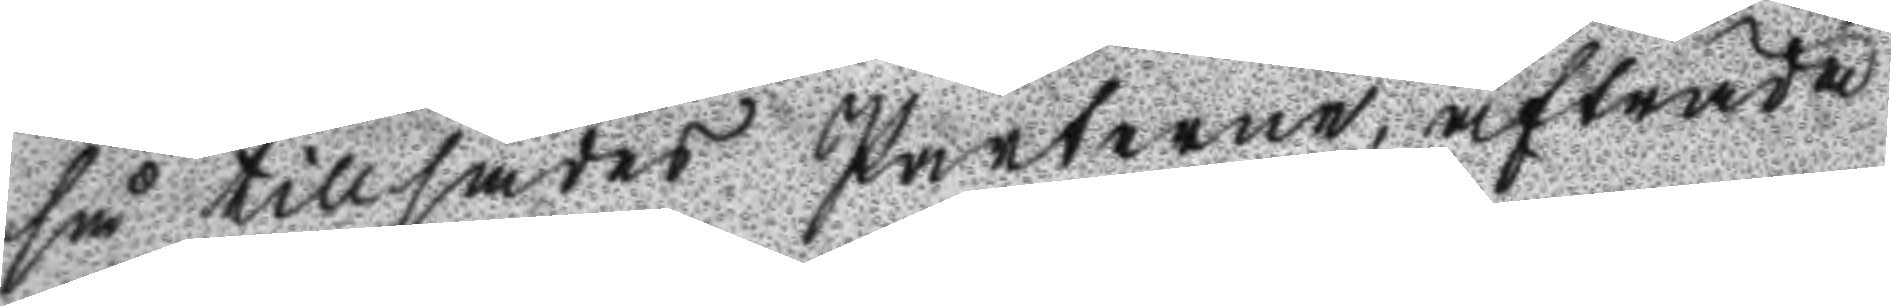så tillsades Parterne, afträda
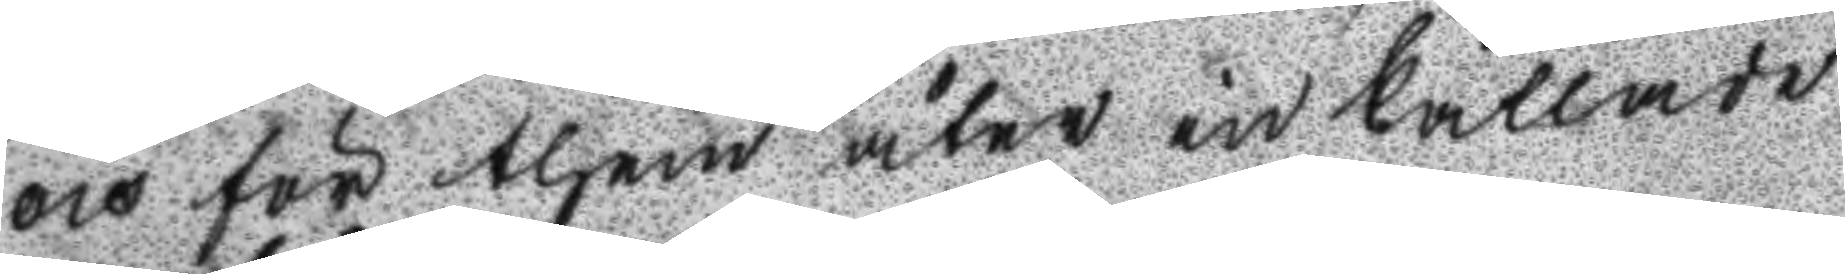och för them åter in kallade
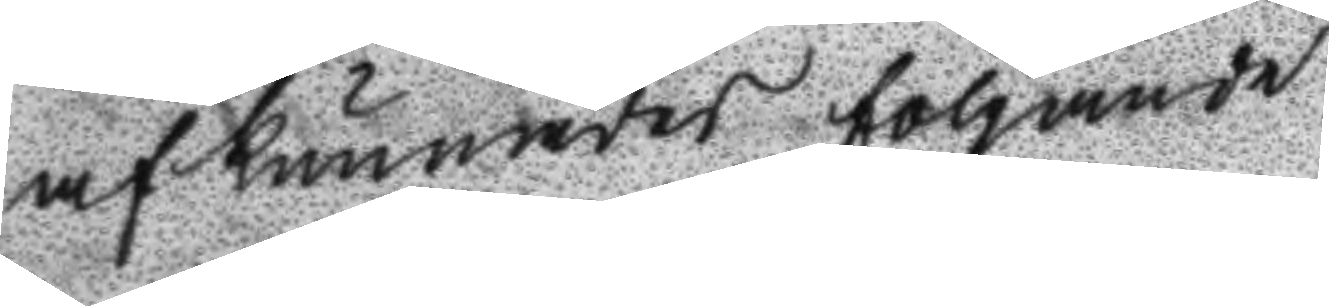af kunnades följande
